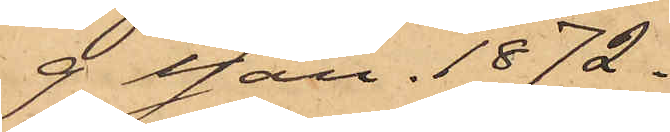9 Jan. 1872.
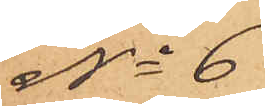No 6
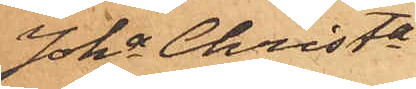Joha Christa
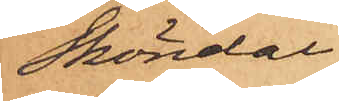Sköndal
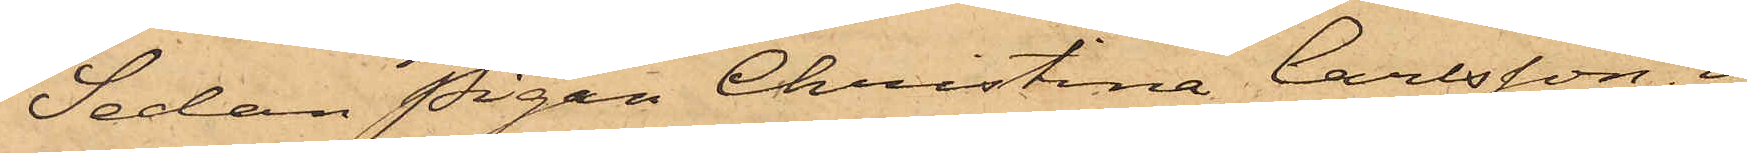Sedan Pigan Christina Carlsson i
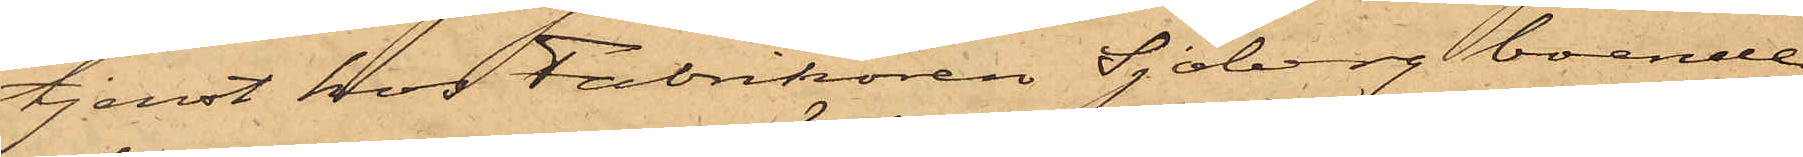tjenst hos Fabrikören Sjöberg boende
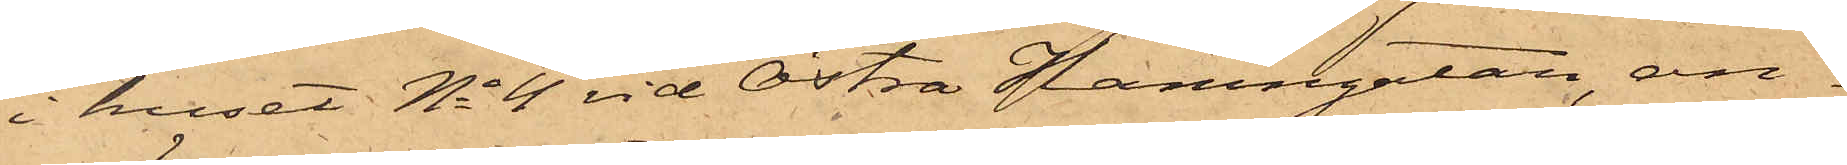i huset No 4 vid Östra Hamngatan, an¬
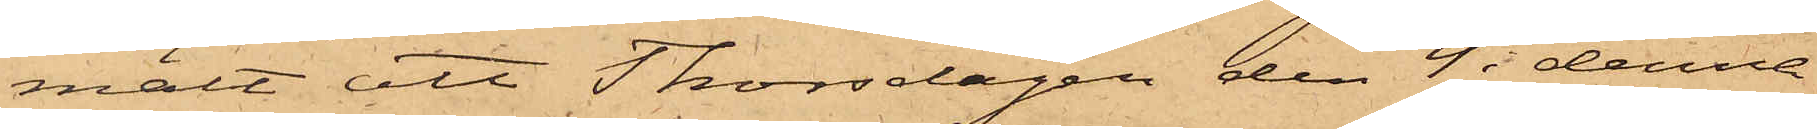mält att Thorsdagen den 4 i denna
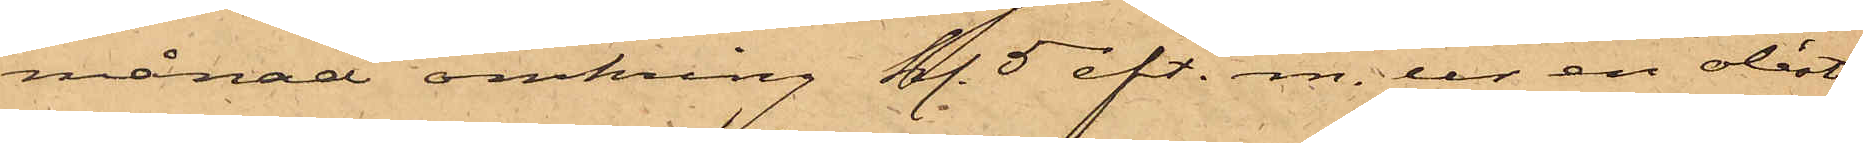månad omkring kl. 5 eft. m. ur en olåst
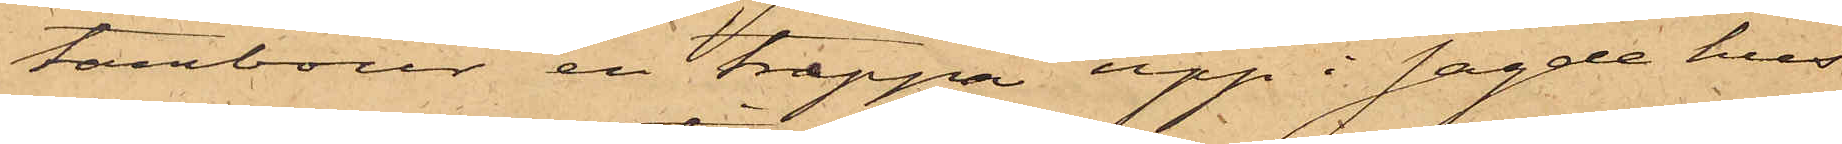tambour en trappa upp i sagde hus
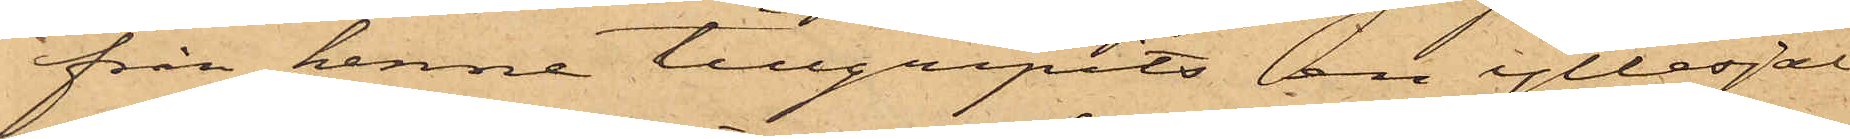ifrån henne tillgripits en yllesjal
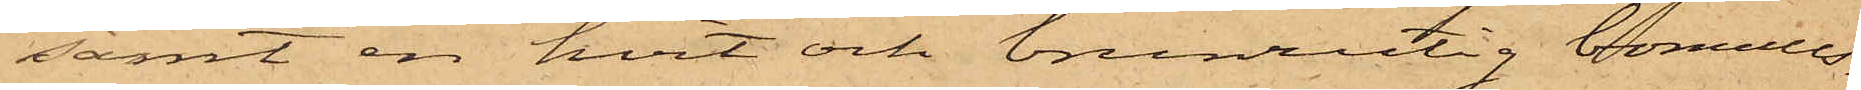samt en hvit och brunrutig bomulls¬
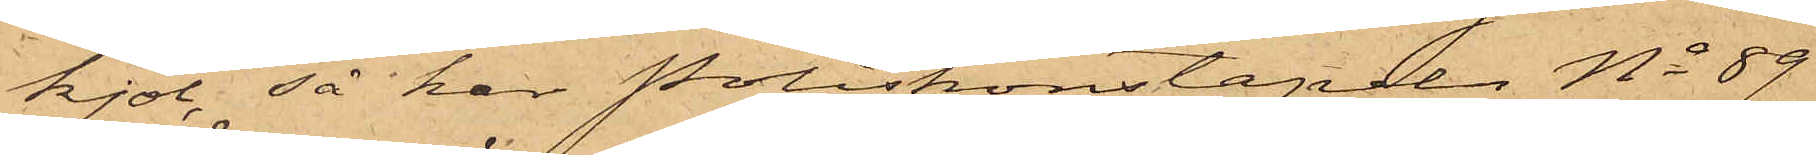kjol, så har Poliskonstapeln No 89
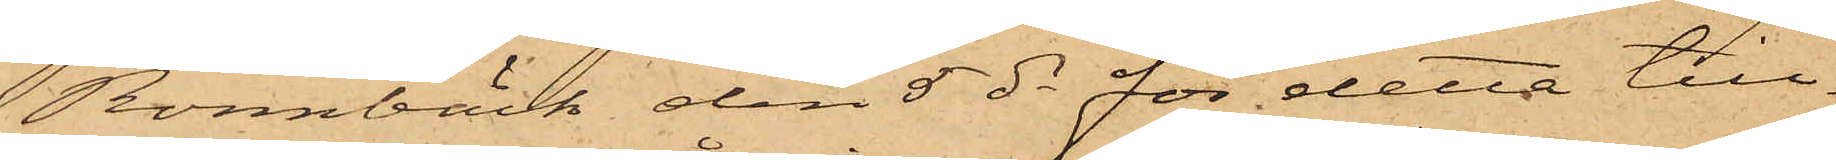Rönnbäck den 5 ds för detta till¬
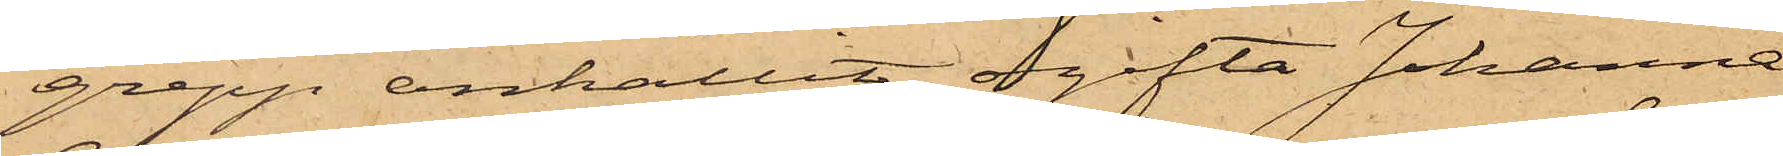grepp anhållit ogifta Johanna
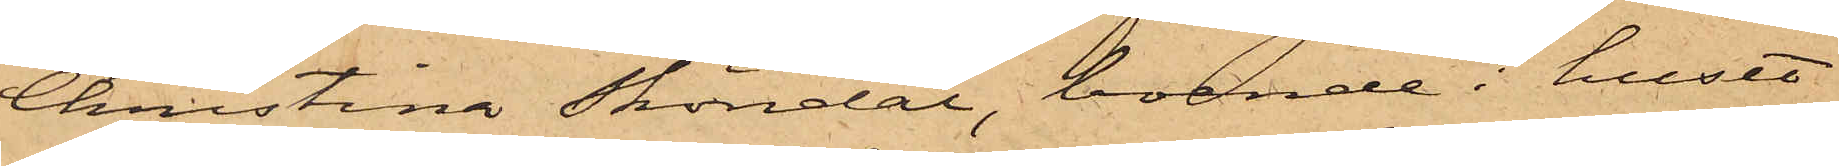Christina Sköndal, boende i huset
